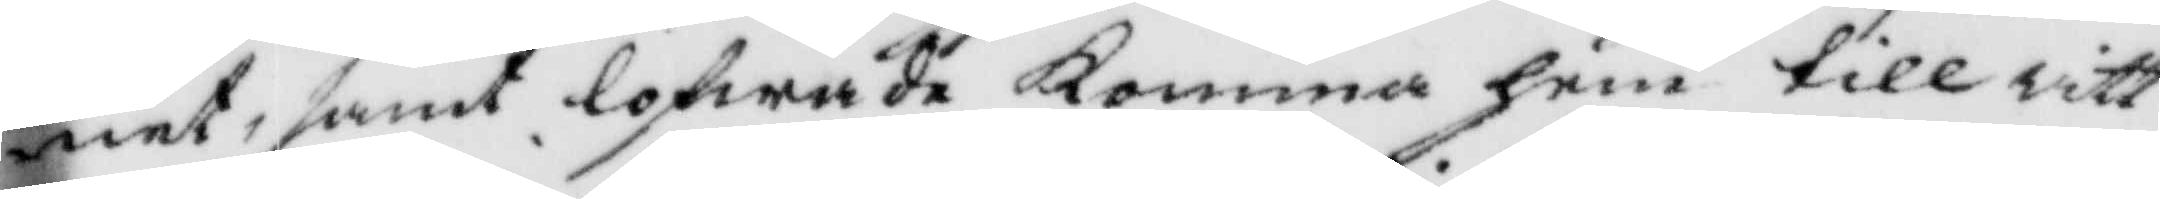net, samt lofwade Komma hem till witt¬ 
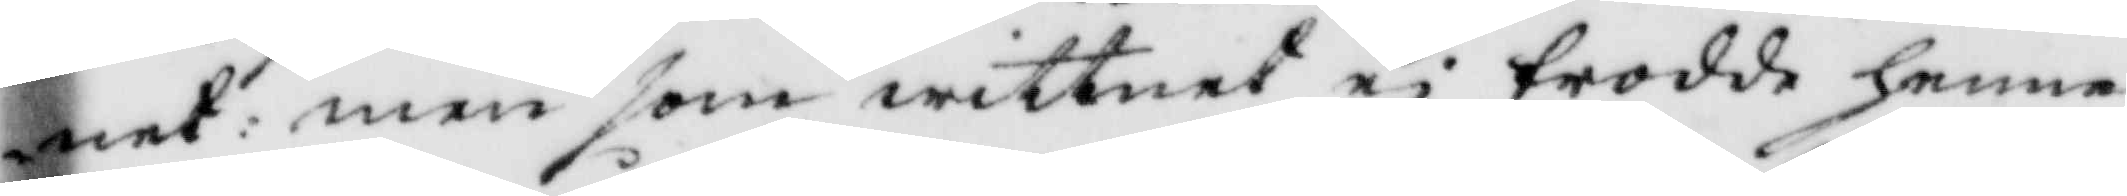net: men som wittnet ei trodde henne
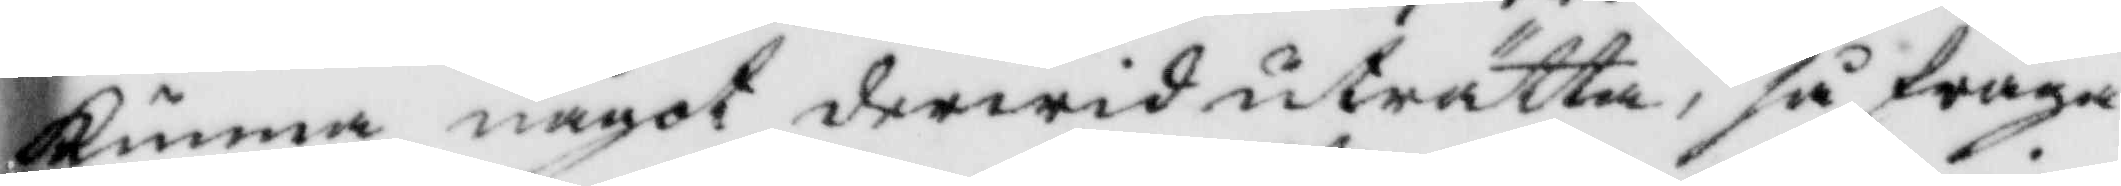Kunna något derwid uträtta. så fråga¬
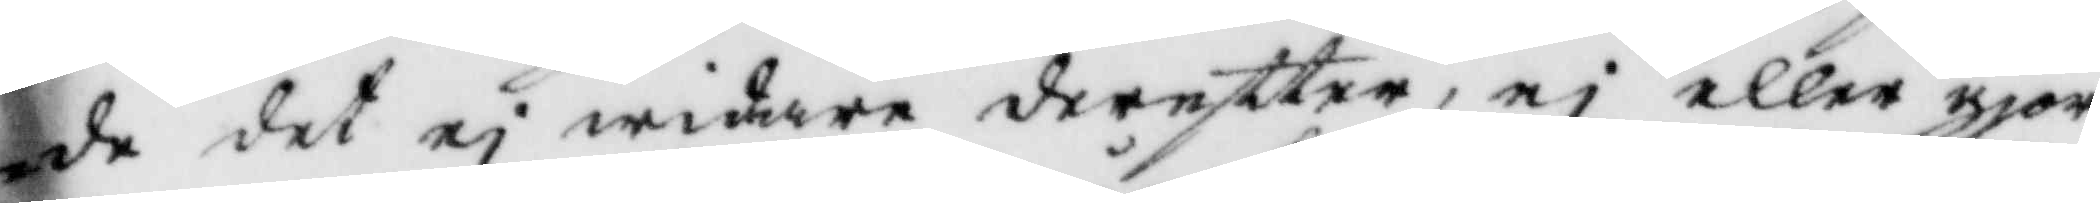de det ei widate dereftter, ei eller gjor¬
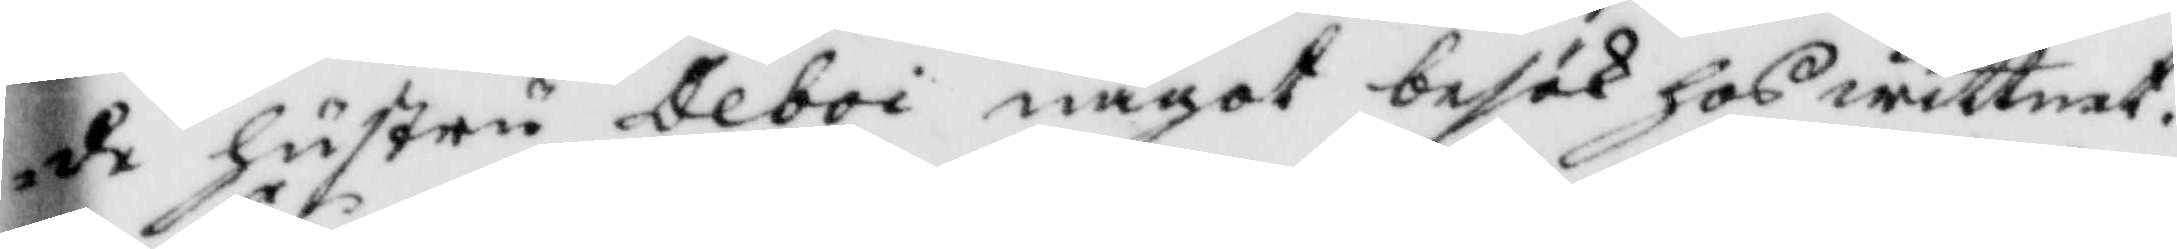de hustru Deboi något besök hos wittnet.
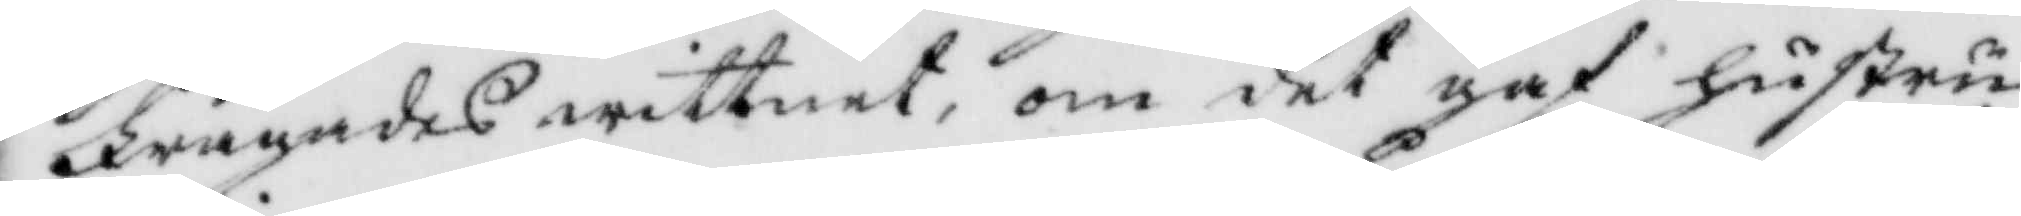Frågades wittnet, om det gaf hustru
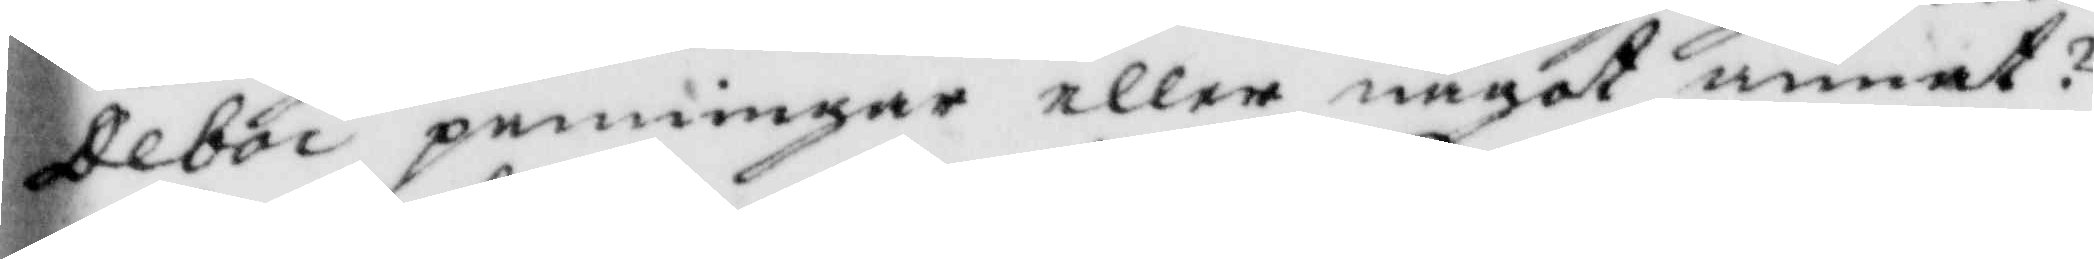Deboi penningar eller något annat?
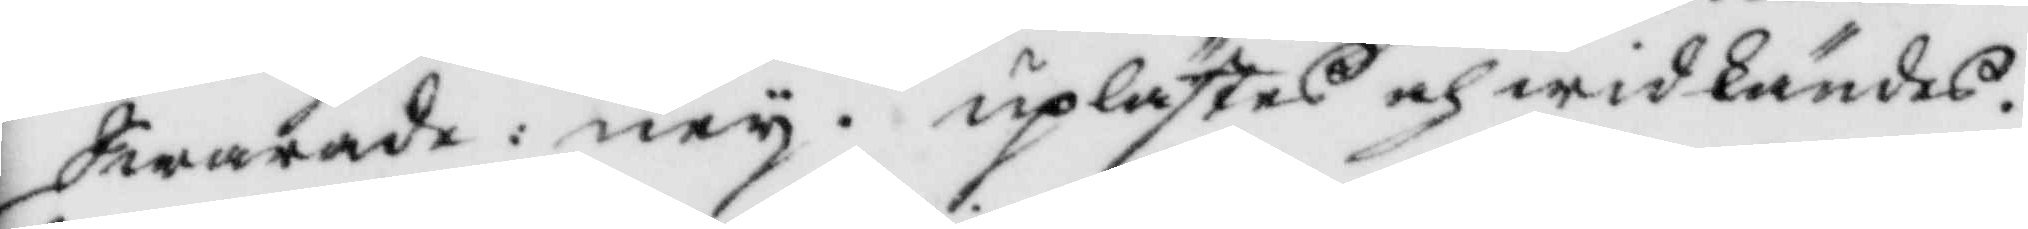Swarade: ney. uplästes och widkändes.
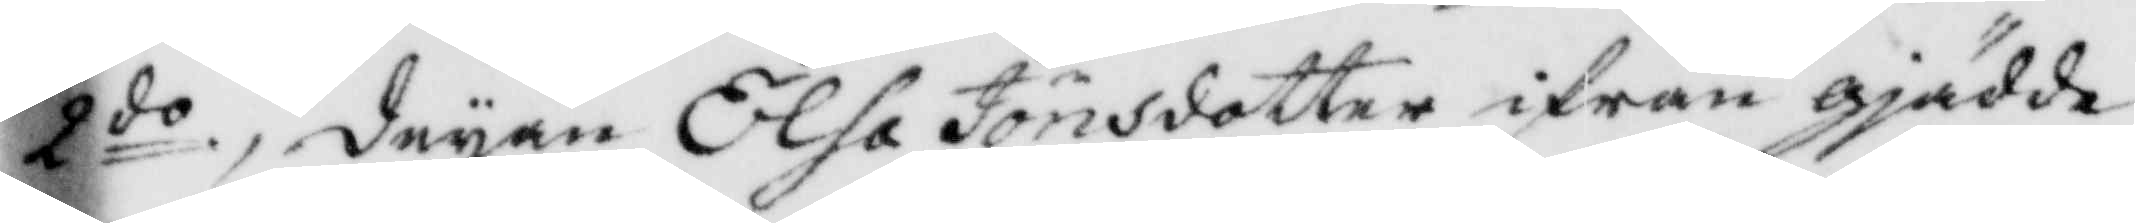2do deyan Elsa Jonsdotter ifrån gjädde¬
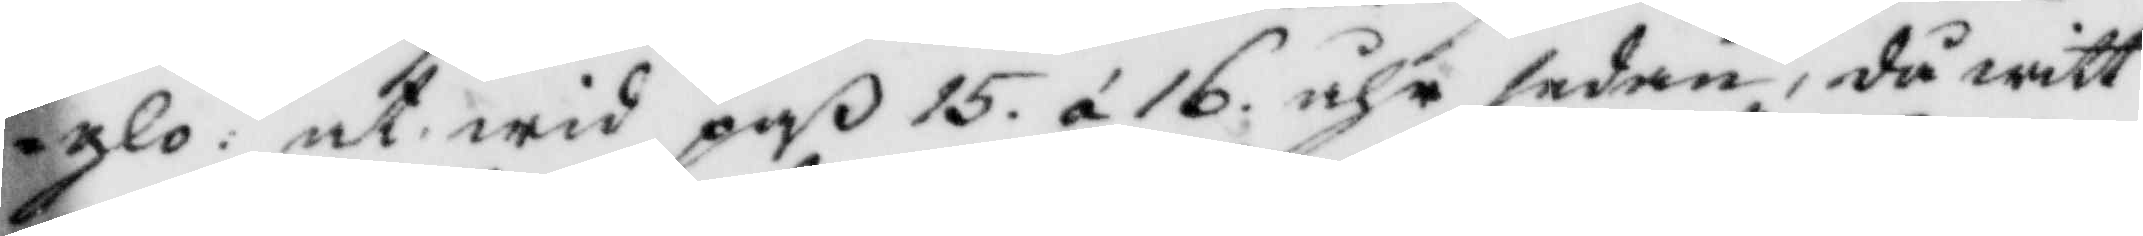glo: at wid paß 16 á 16 åhr sedan, då witt¬
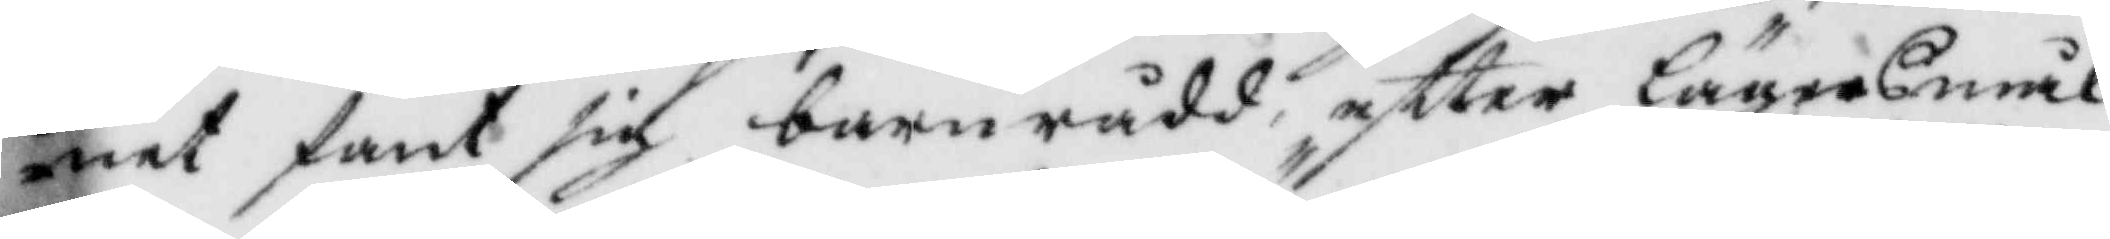net fant sig barnrådd efter lägersmål
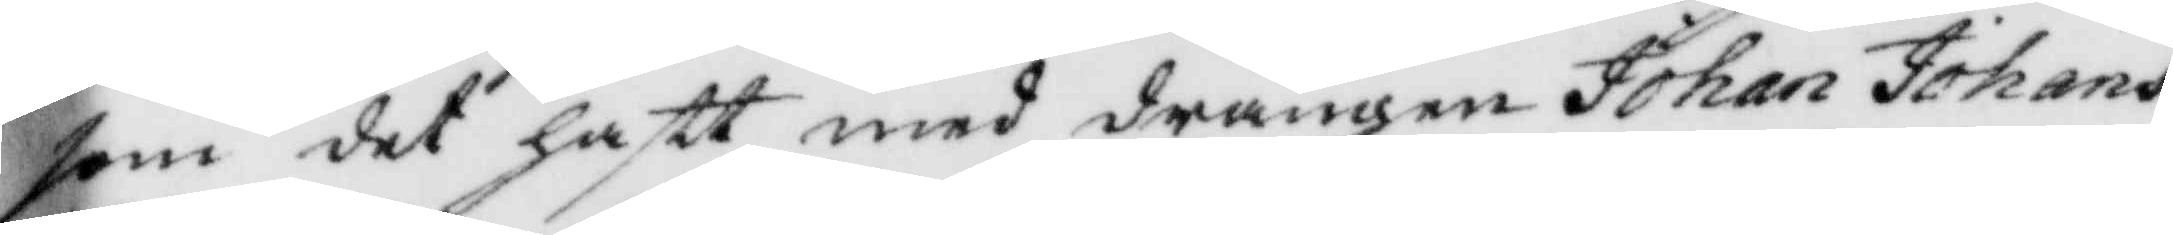som det haftt med drängen Johan Johans¬
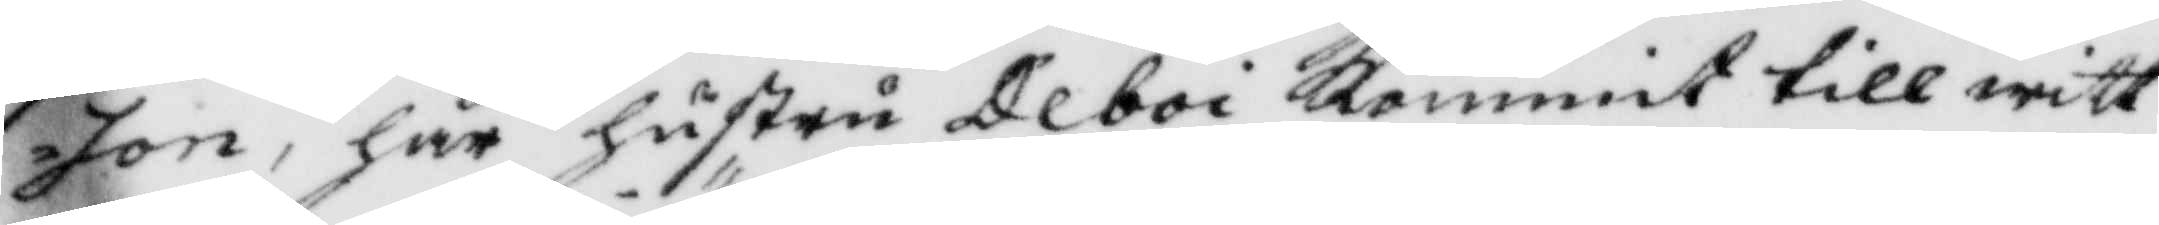son, har hustru Deboi Kommit till witt¬
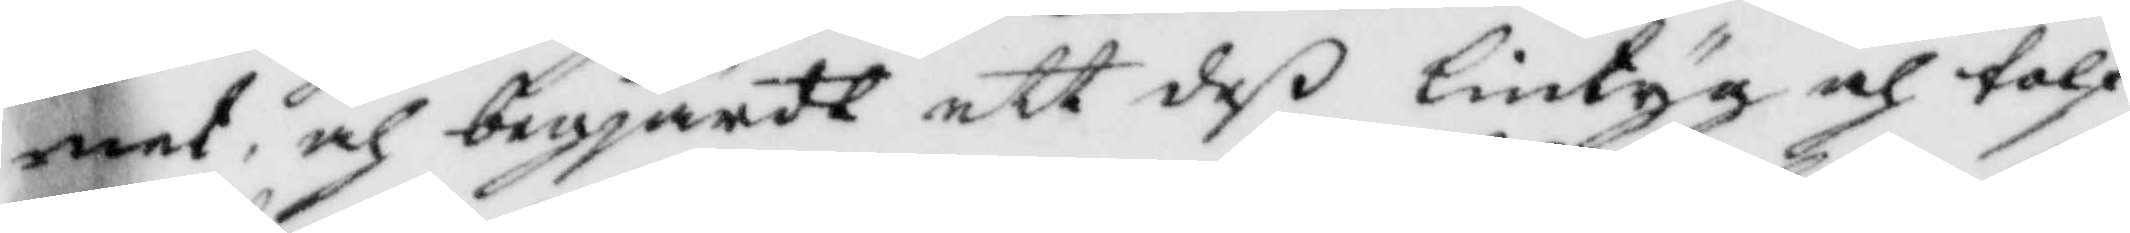net, och begjärdt ett deß lintyg och tolf
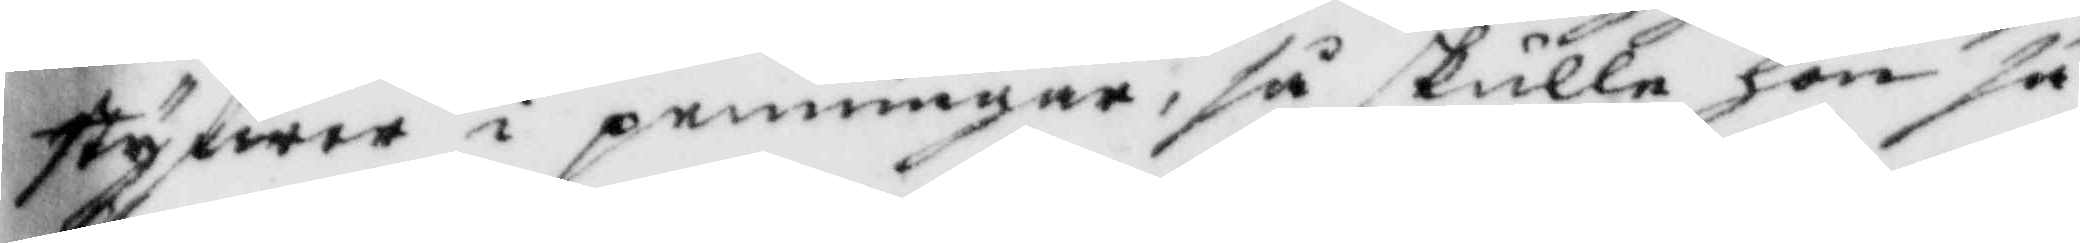styfwer i penningar, så skulle hon så
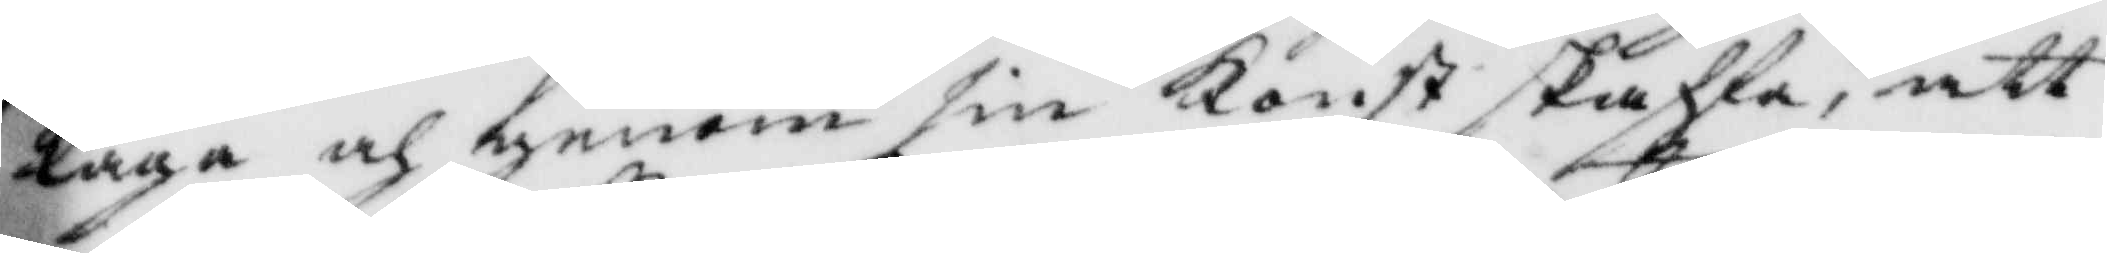laga och genom sin Konst skaffa, att
